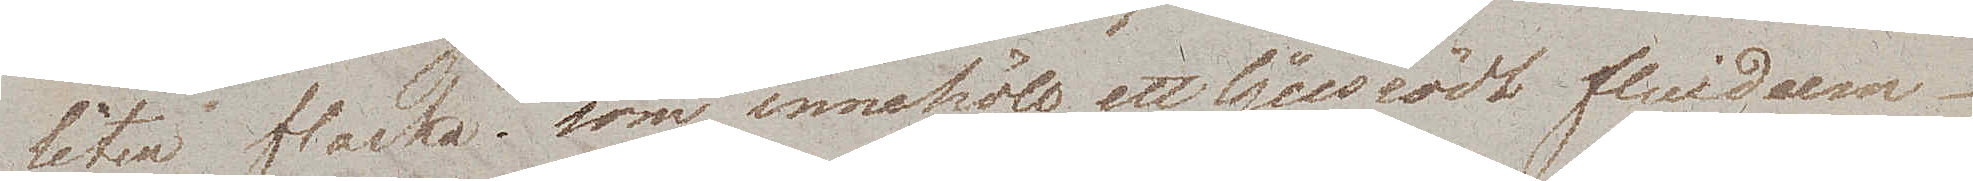liten flaska, som innehöll ett ljusrödt fluidum.
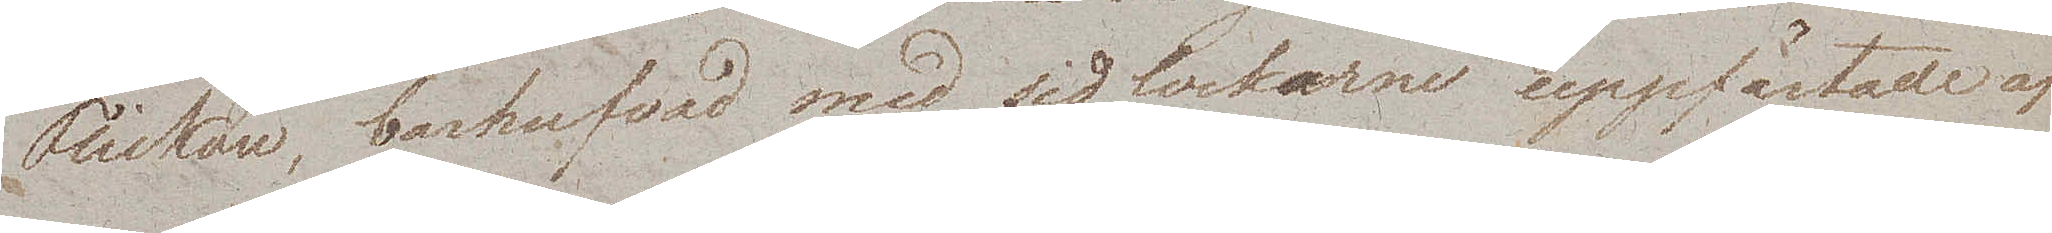Flickan, barhufvad med sidlockarne uppfästade af
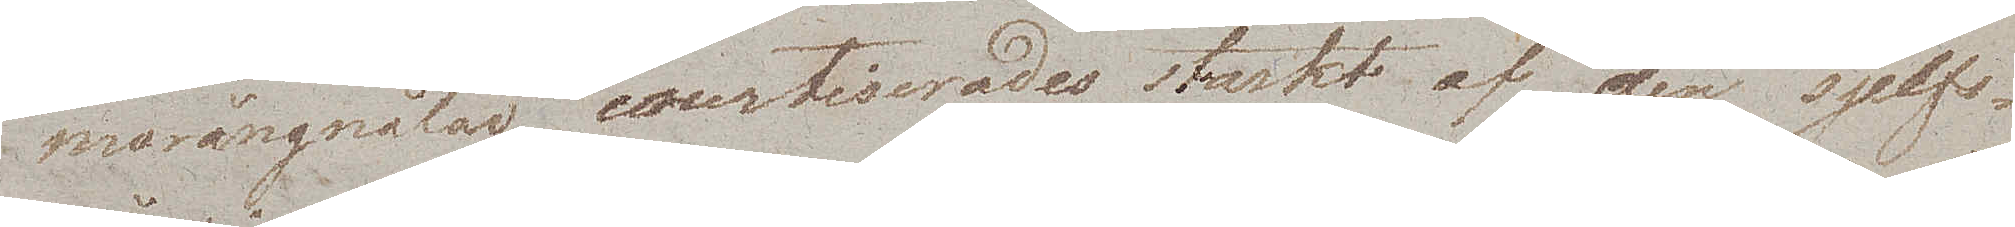marångnålar, courtiserades starkt af den sjelfs¬
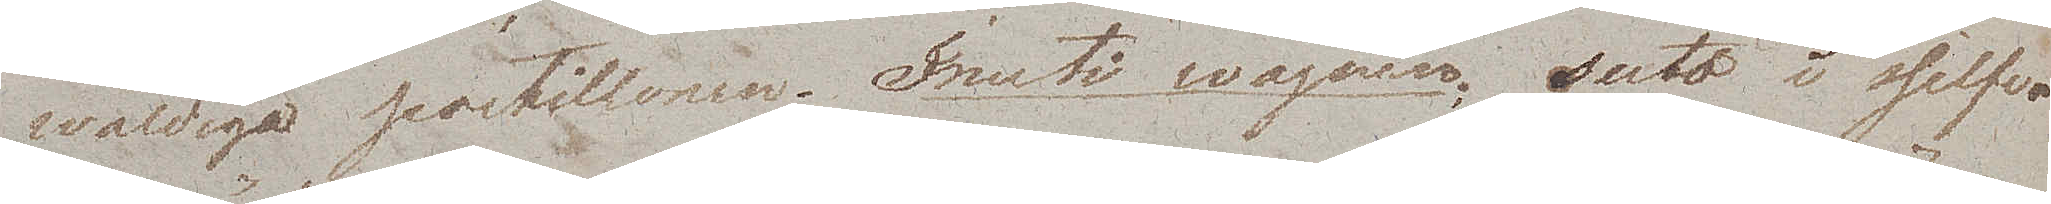wåldiga postillonen. Inuti wagnen suto i sjelfva
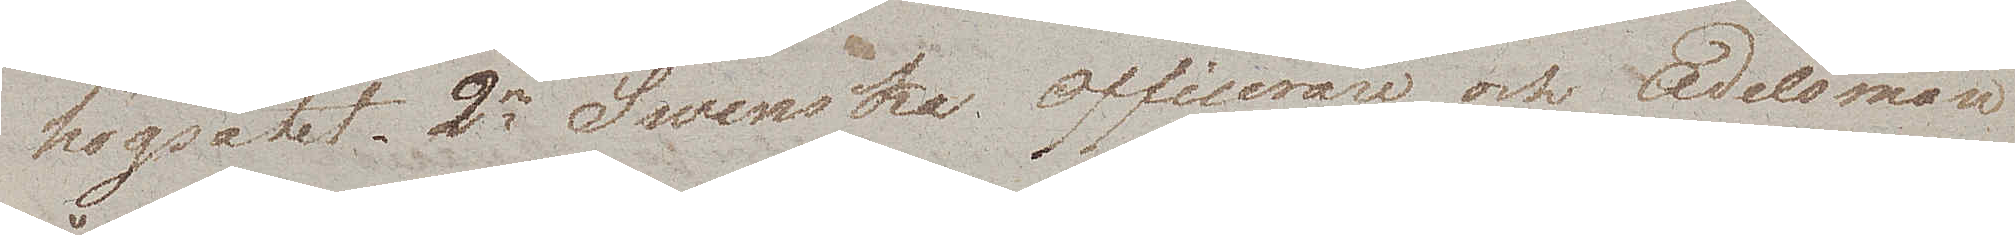högsätet 2ne Swenska Officerare och Adelsmän
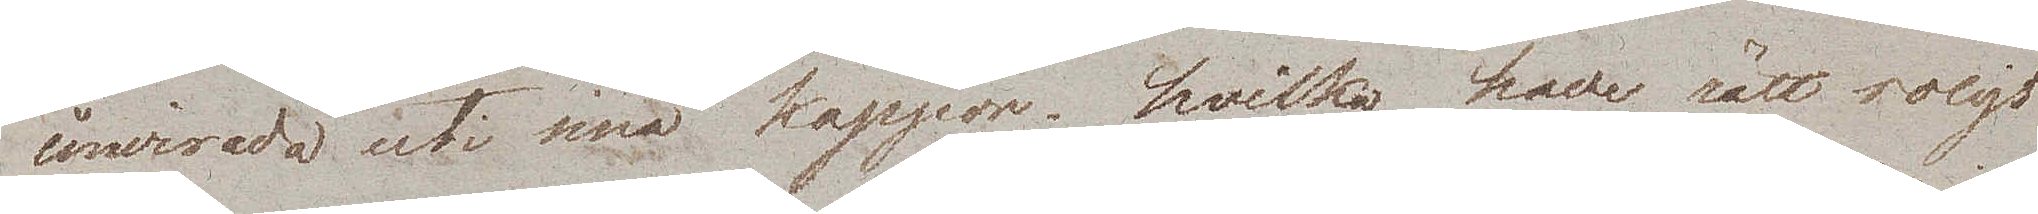invirade uti sina kappor, hvilka hade rätt roligt
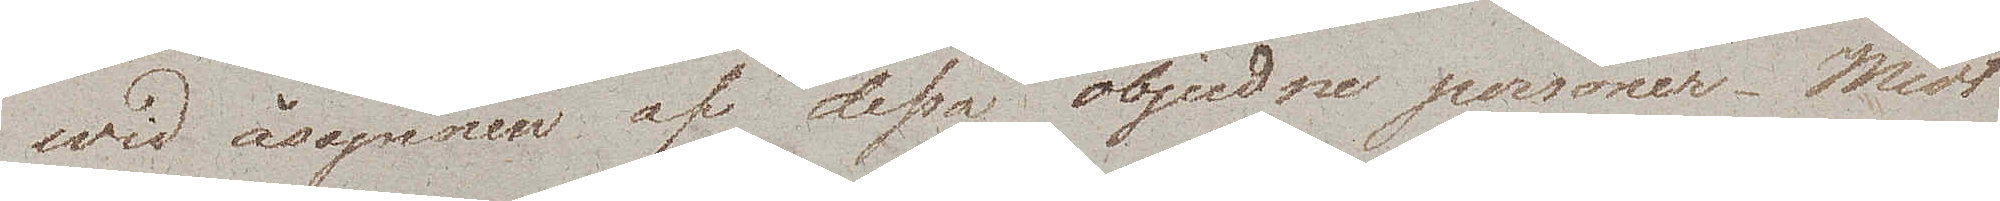wid åsynen af dessa objudne personer. Midt
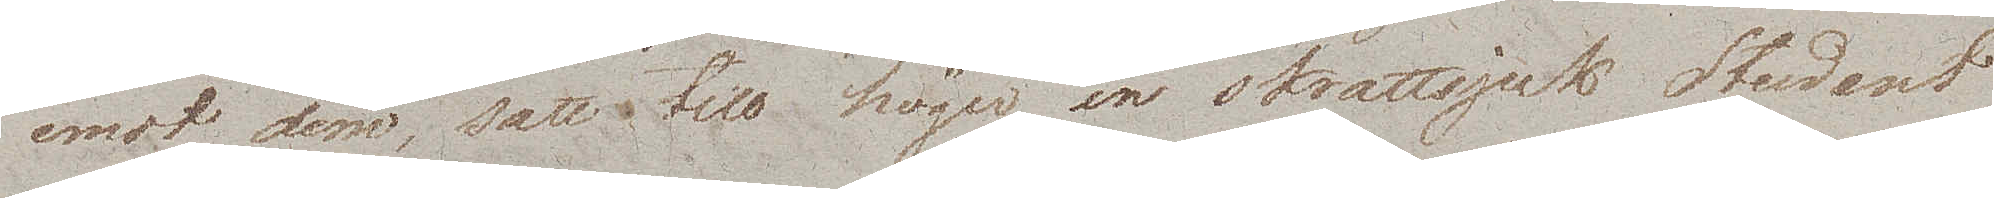emot dem, satt till höger en skrattsjuk Student
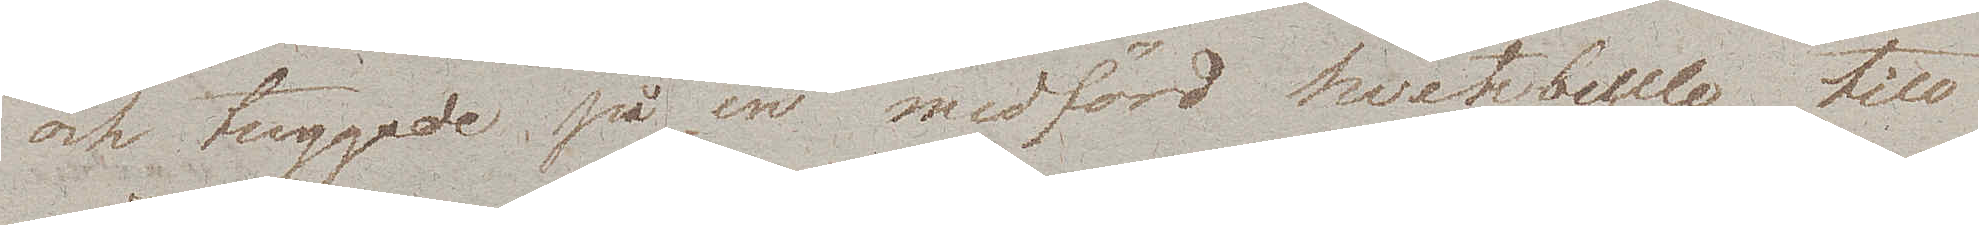och tuggade på en medförd hvetebulle, till
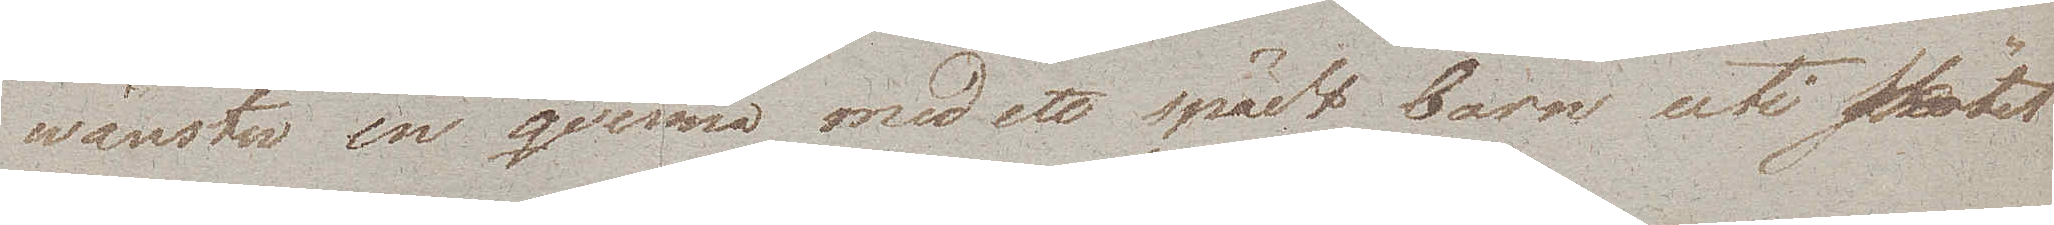wänster en qvinna med ett spädt barn uti skötet
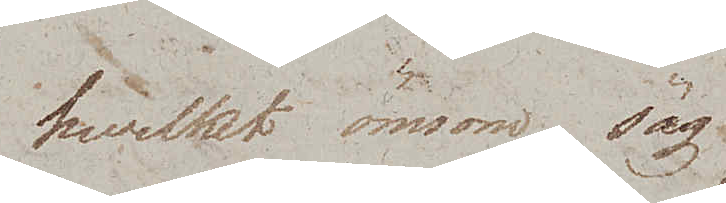hvilket ömsom sög
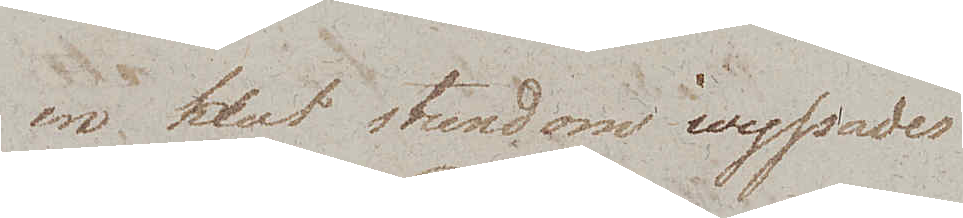en klut stundom wyssades
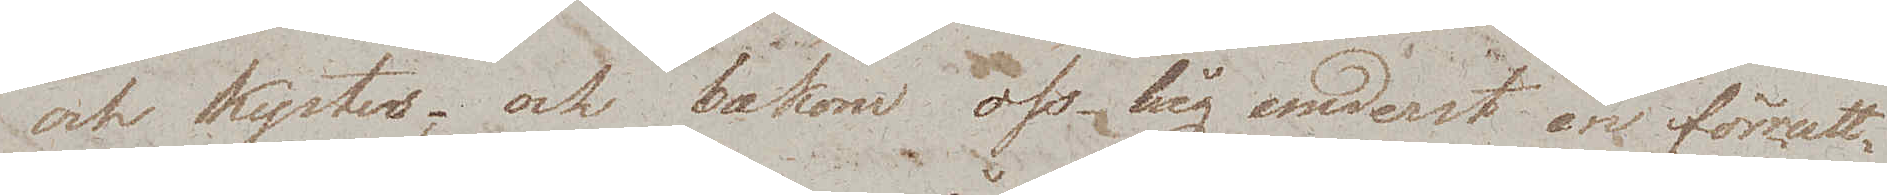och kystes; och bakom oss låg underst en förrutt¬
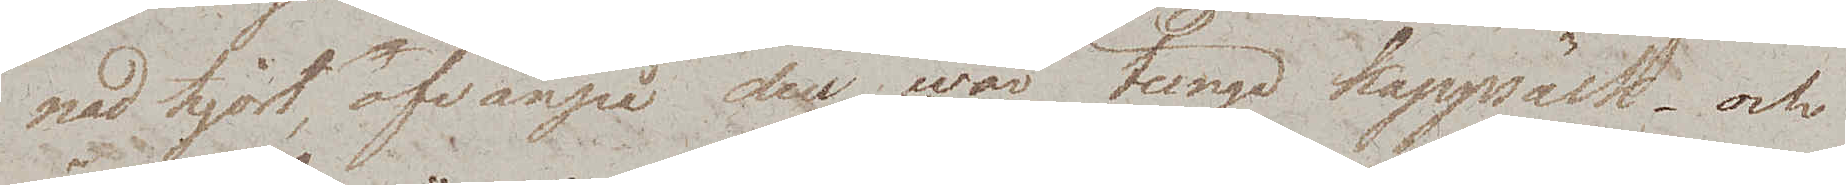nad hjort, ofvanpå den wår tunga kappsäck och
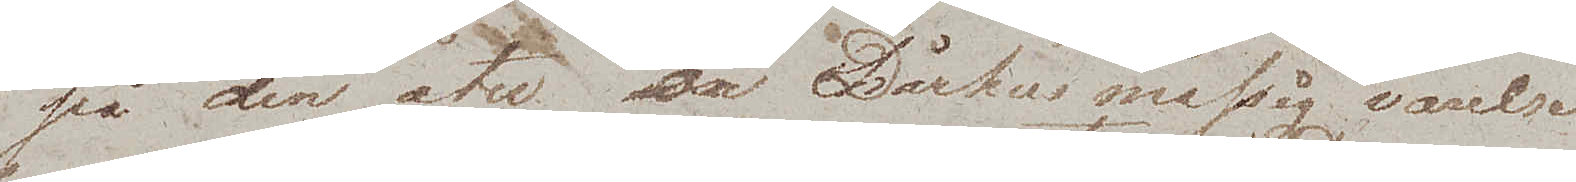på den åter en Dårhusmässig varelse
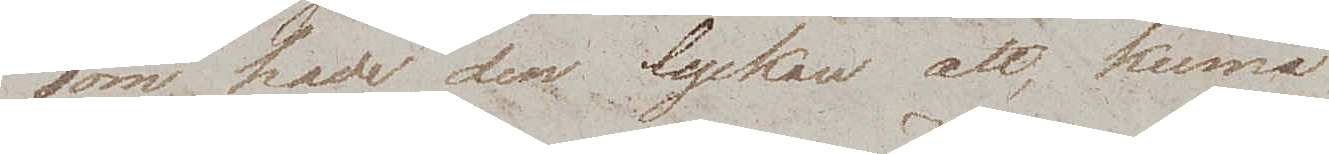som hade den lyckan att, kunna
